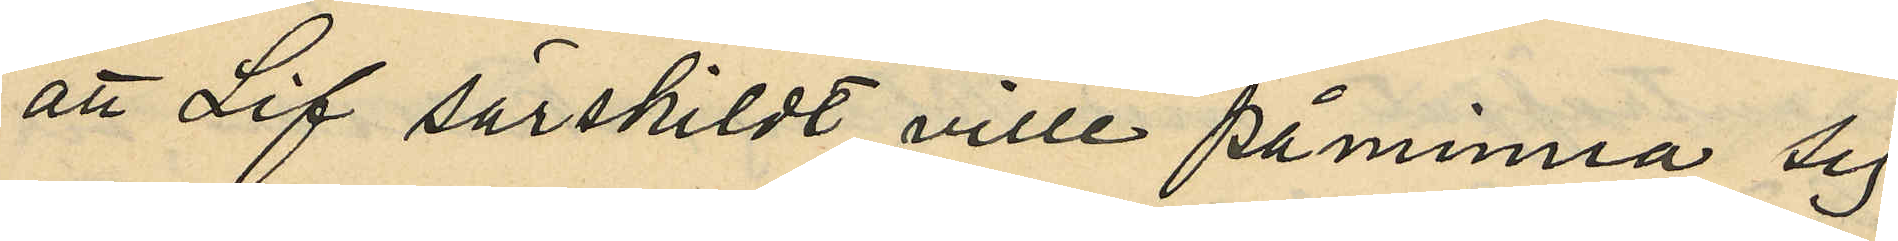att Lif särskildt ville påminna sig
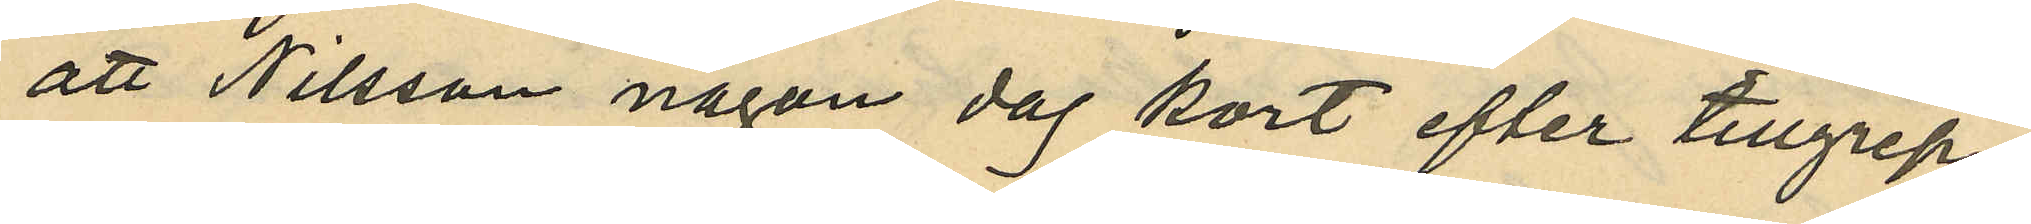att Nilsson någon dag kort efter tillgrep¬
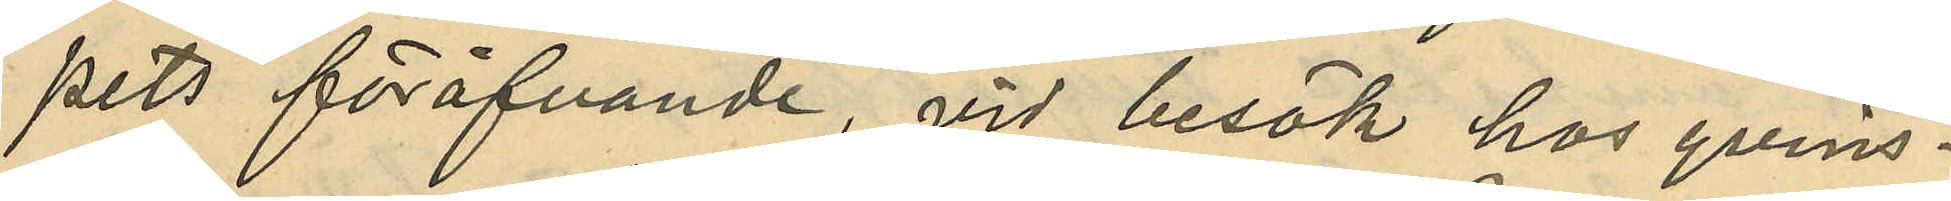pets föröfvande, vid besök hos qvins¬
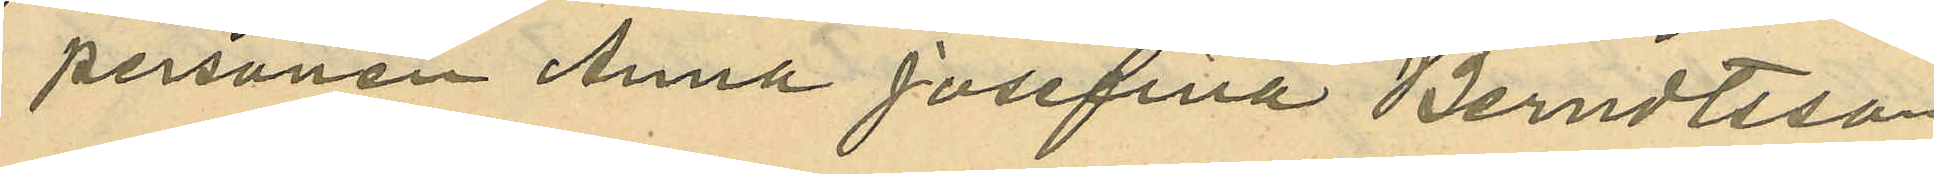personen Anna Josefina Berndtsson
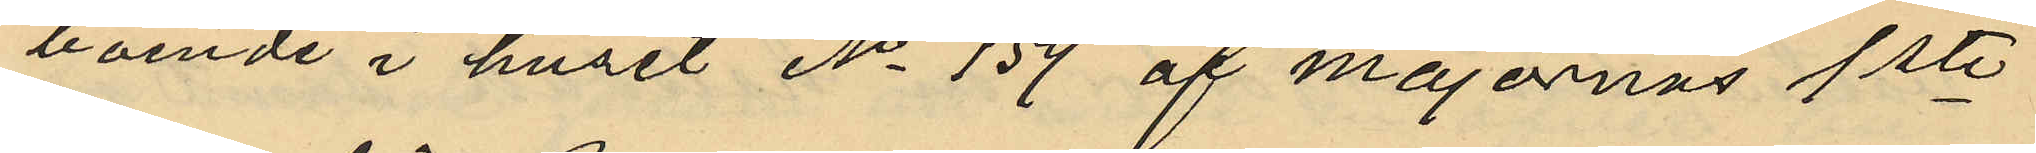boende i huset No 159 af Majornas 1ste
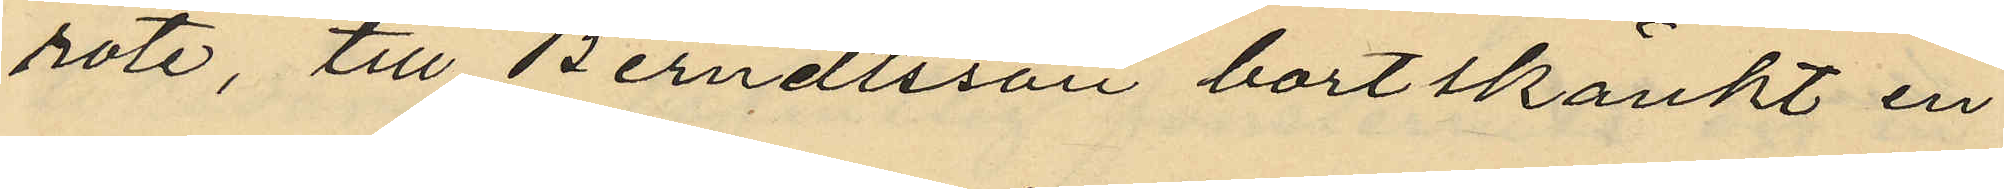rote, till Berndtsson bortskänkt en
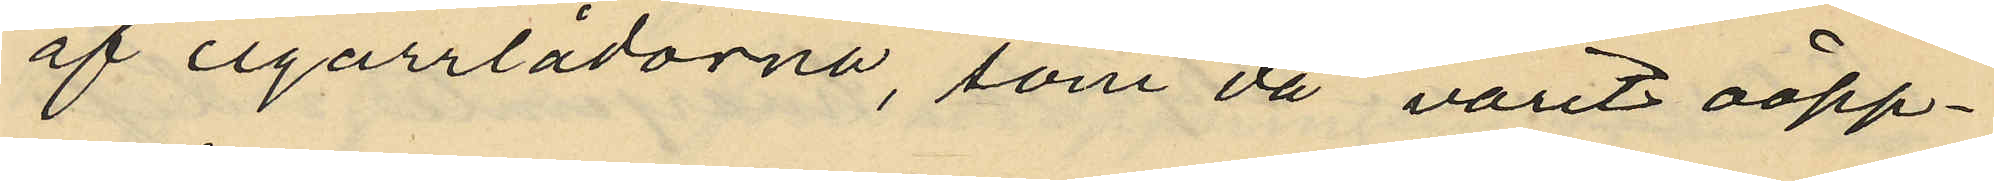af cigarrlådorna, som då varit oöpp¬
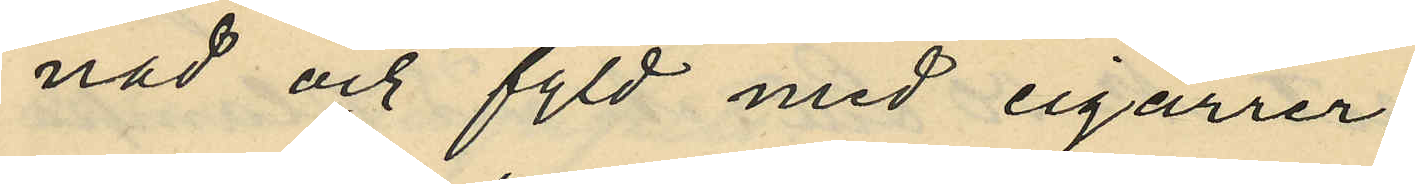nad och fyld med cigarrer,
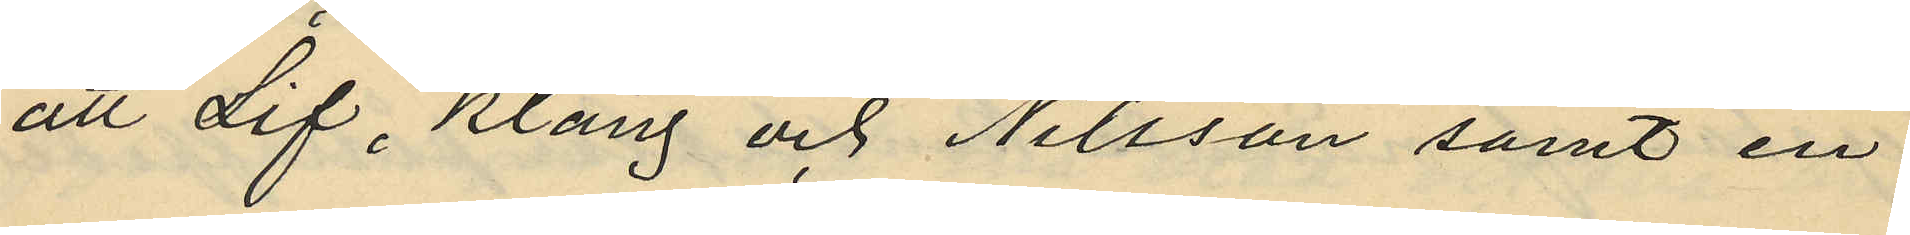att Lif, Klang och Nilsson samt en
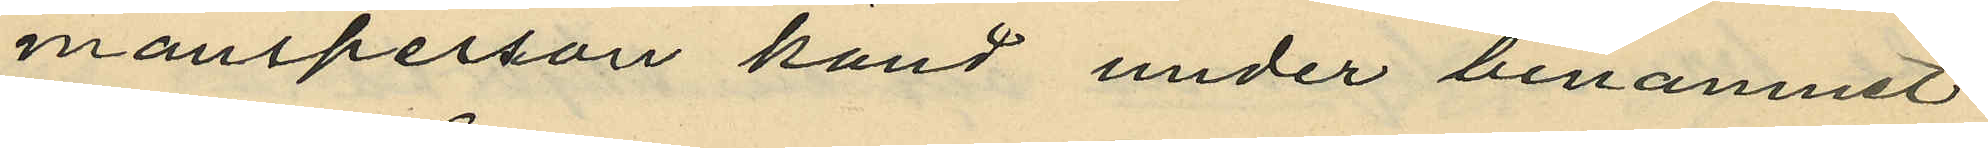mansperson känd under binamnet
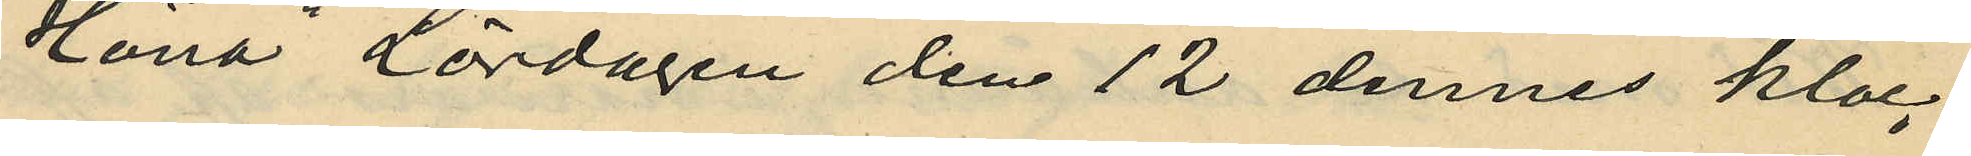"Höna" Lördagen den 12 dennes kloc¬
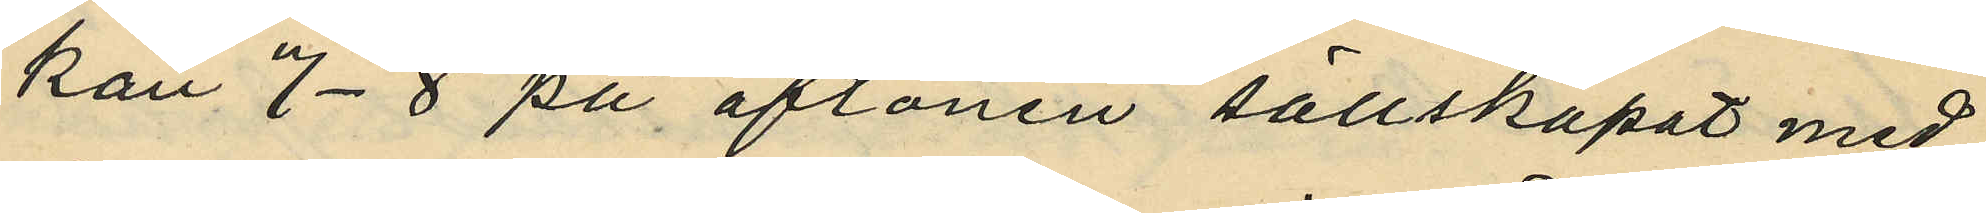kan 7-8 på aftonen sällskapat med
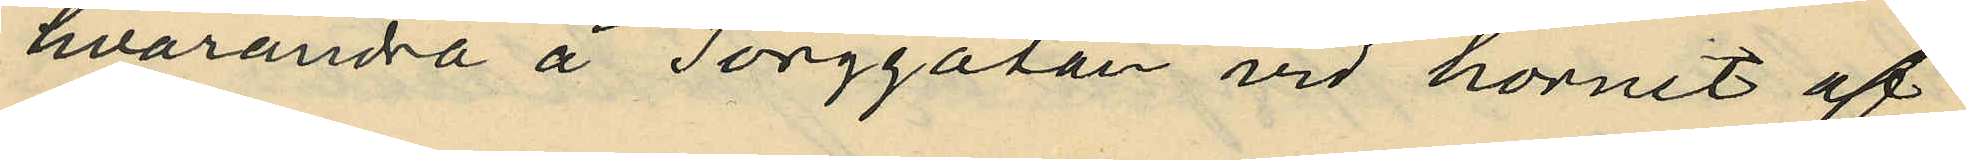hvarandra å Torggatan vid hörnet af
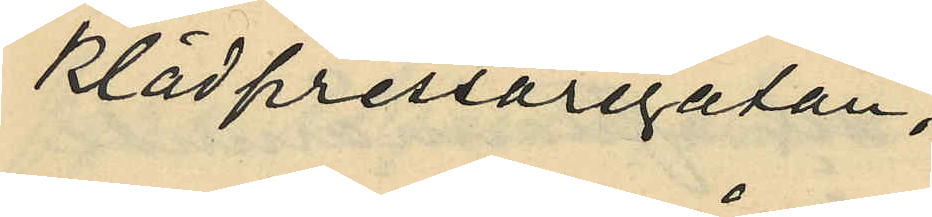Klädpressaregatan;
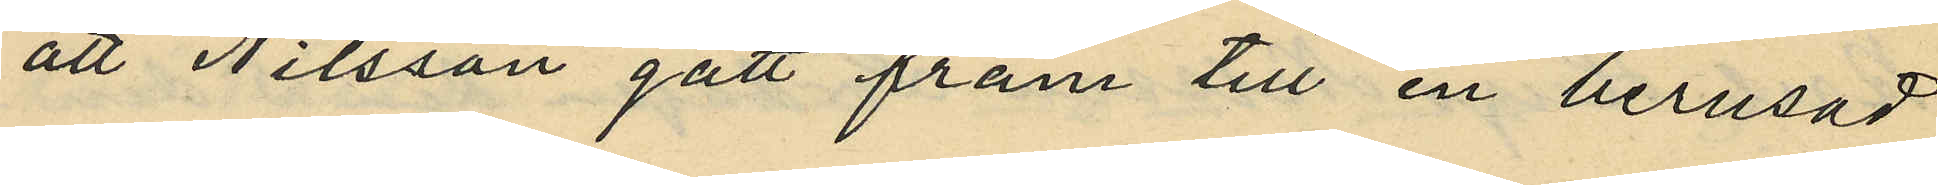att Nilsson gått fram till en berusad
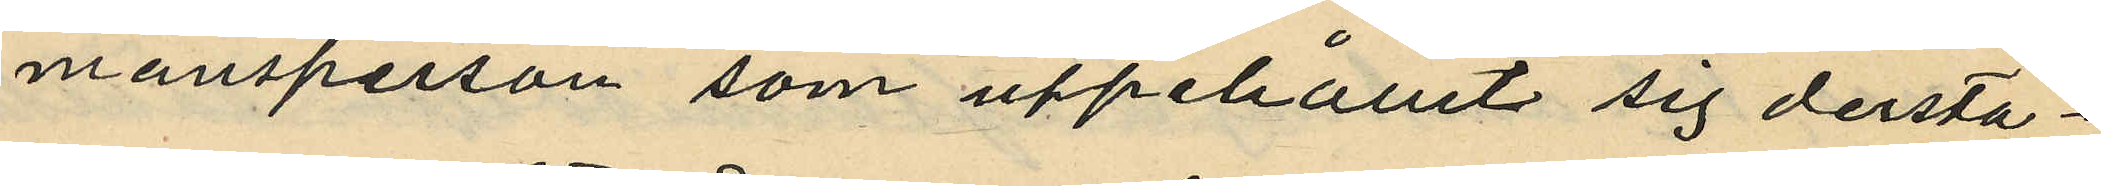mansperson som uppehållit sig derstä¬
